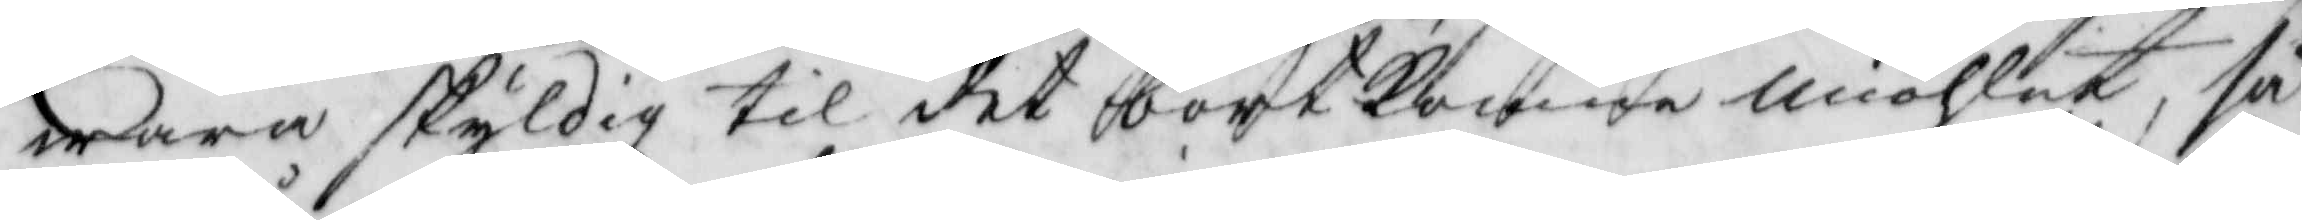wara skyldig til det bortkomne miöhlet, så
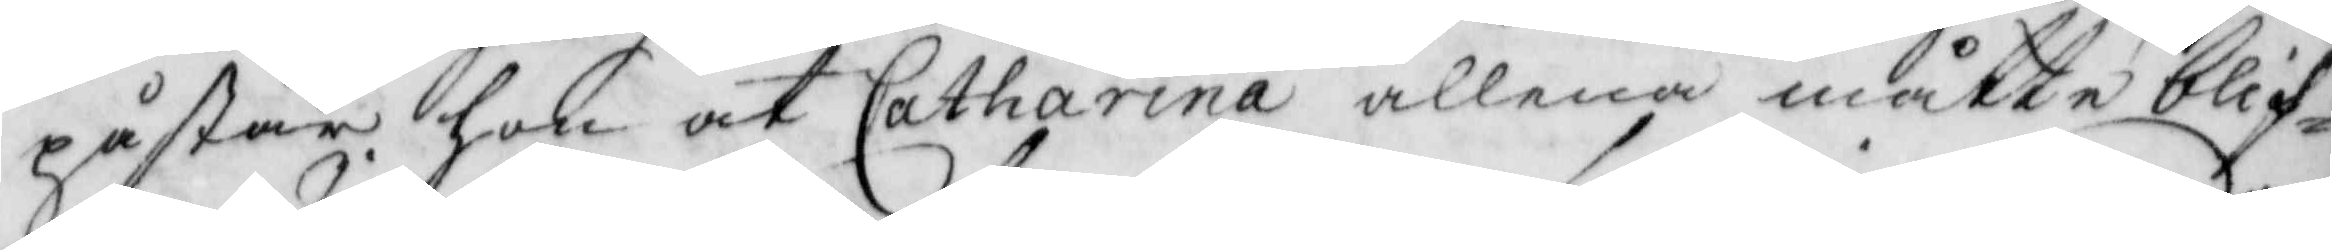påstår hon at Catharina allena måtte blif¬
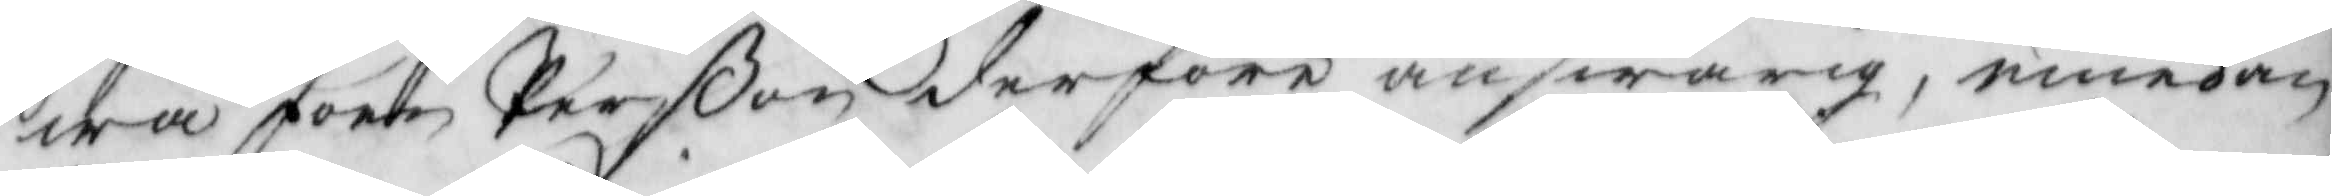wa Joen Perßon derföre answarig, emedan
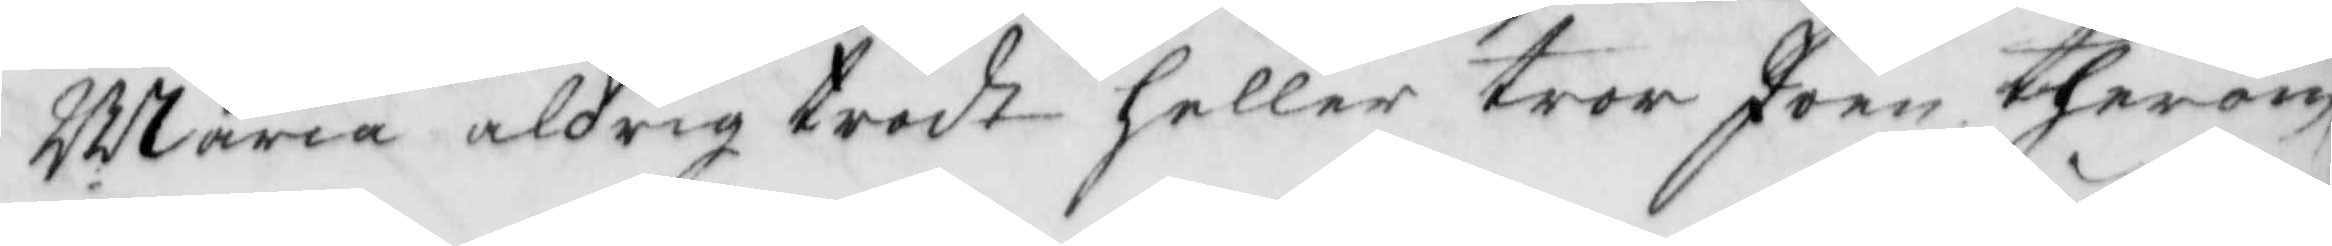Maria aldrig trodt heller tror Joen therom
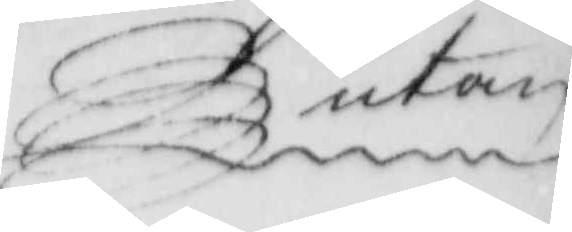utan
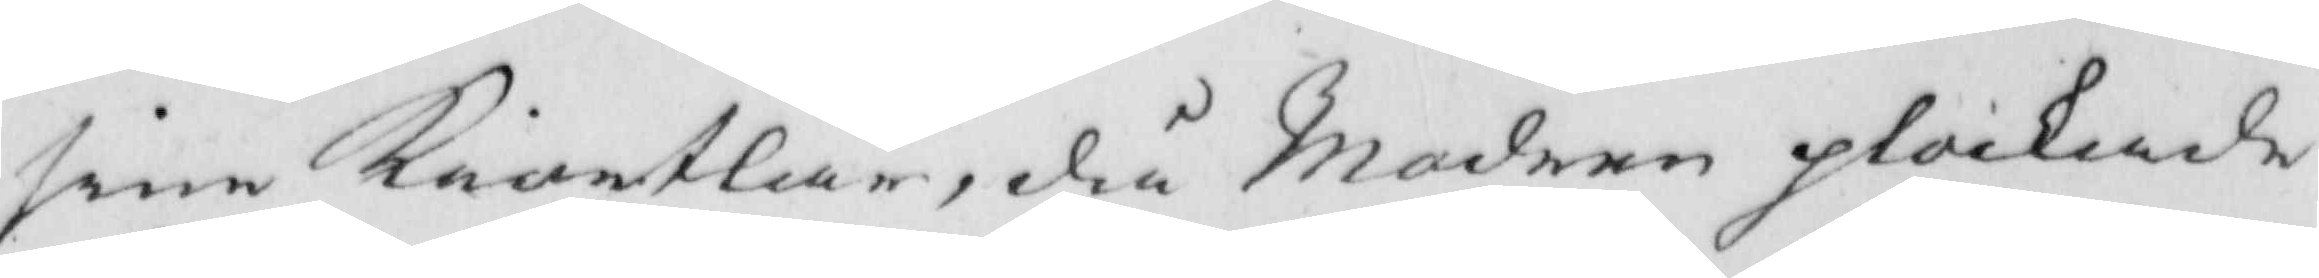sine kiortlar, då Modern plockade
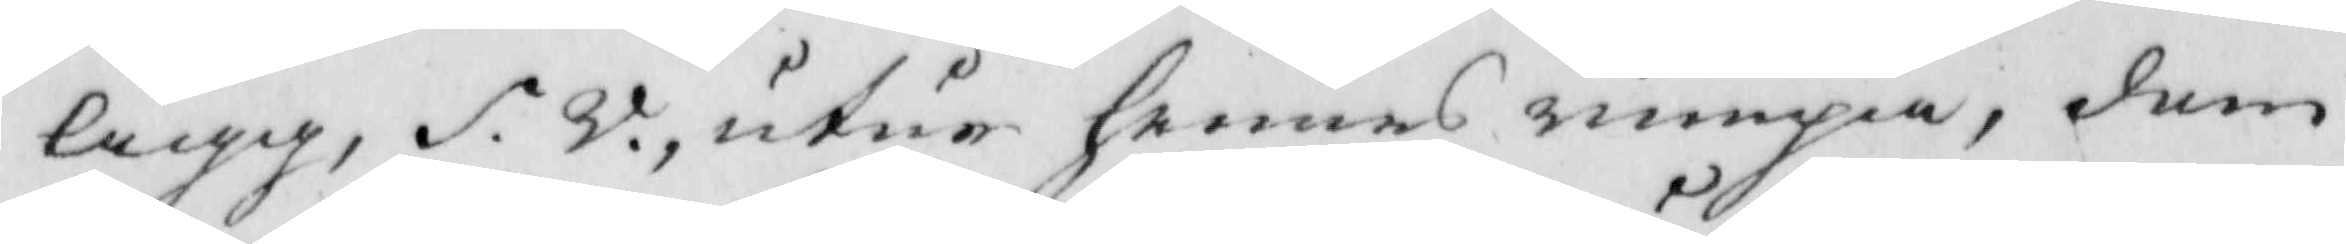Ägg, S. V. utur hennes rumpa, dem 
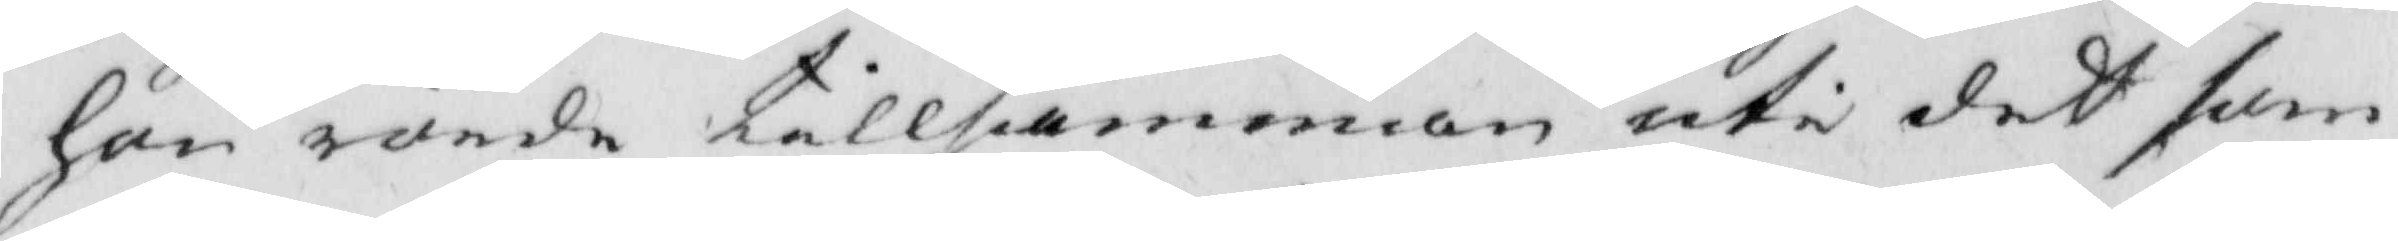hon rörde tillsamman uti det som
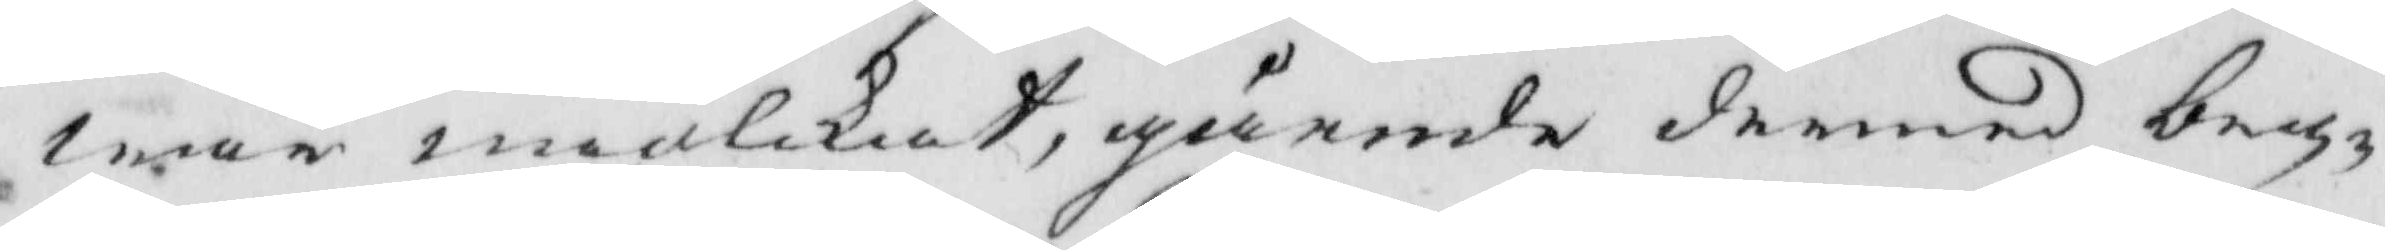war miölkat, gående dermed beg¬
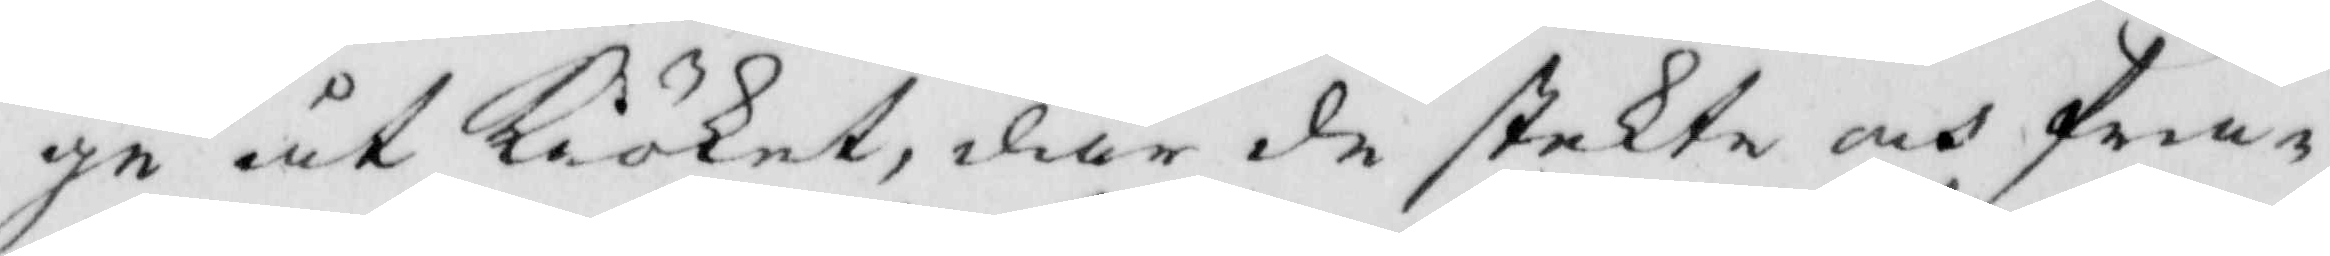ge åt kiöket, där de stekte och fra¬
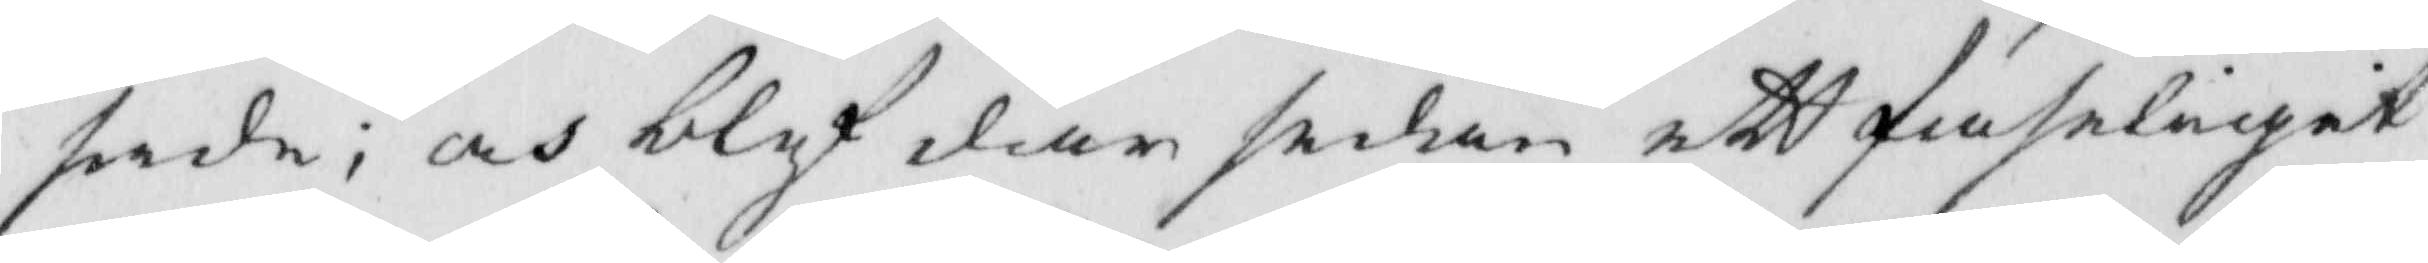sade; och blef där sedan ett faseligit
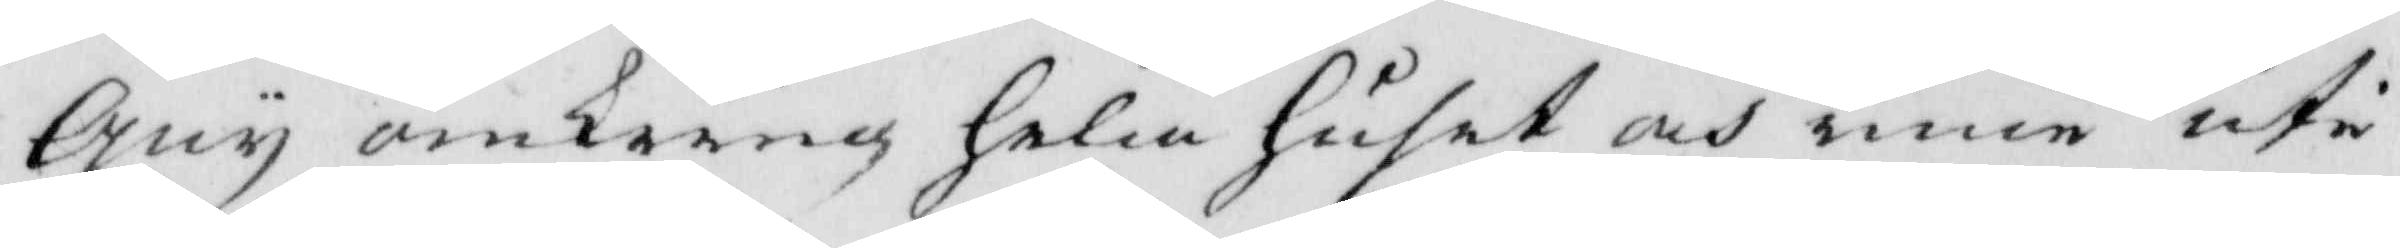gny omkring hela huset och inne uti
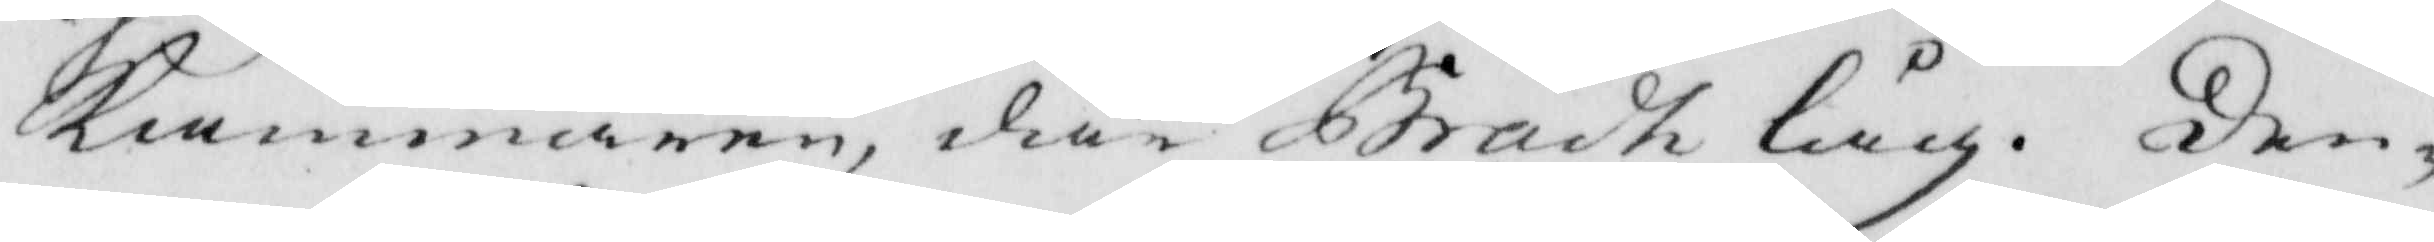kammaren, där Brådh låg. Den¬
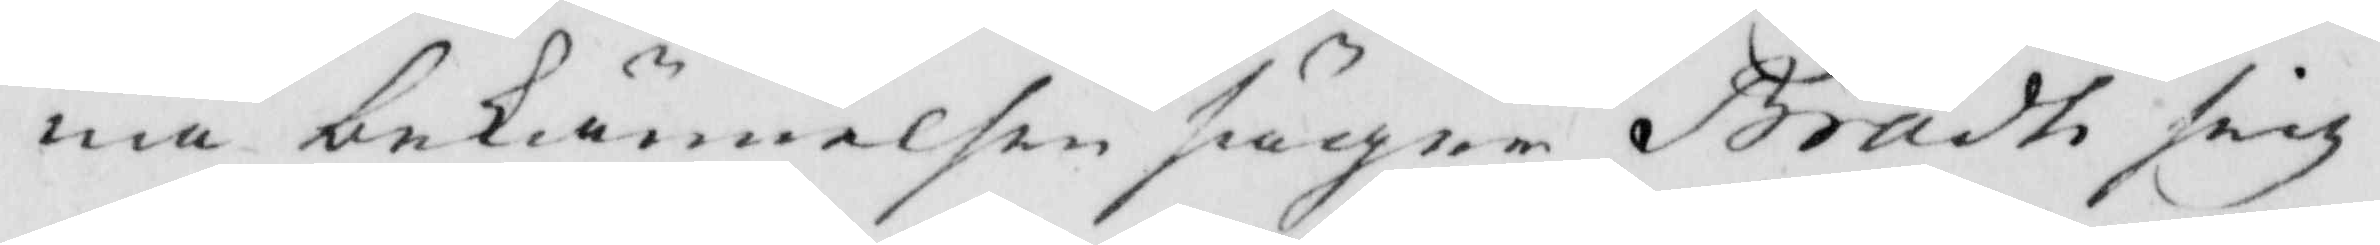na bekiännelsen säger Brådt sig
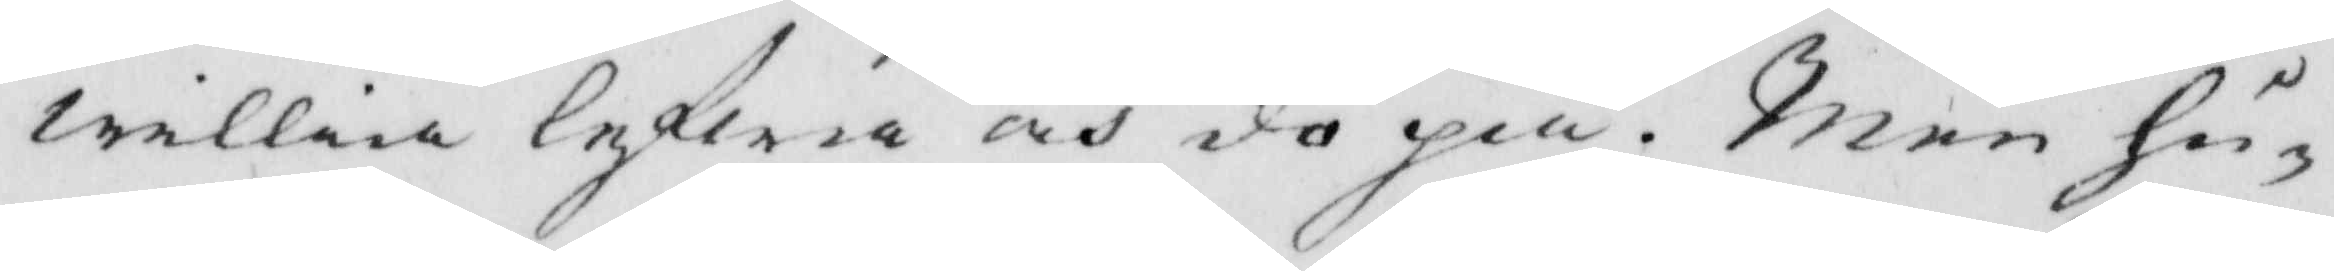willia lefwa och dö på. Men hu¬
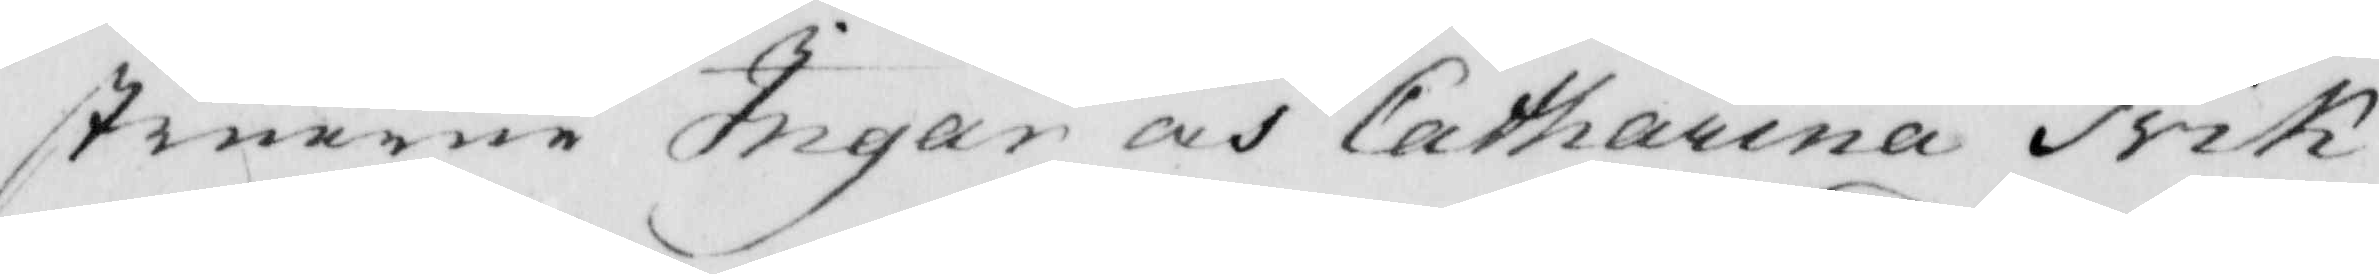struerne Ingar och Catharina trik
